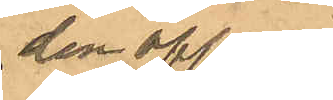den öppna
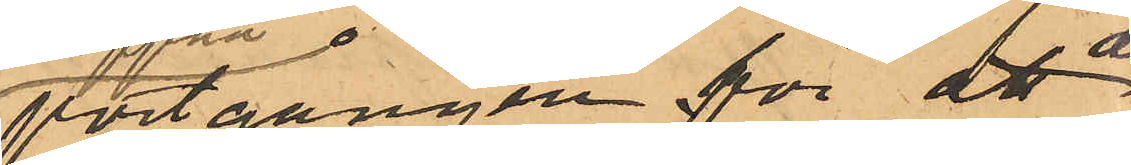portgången för att der
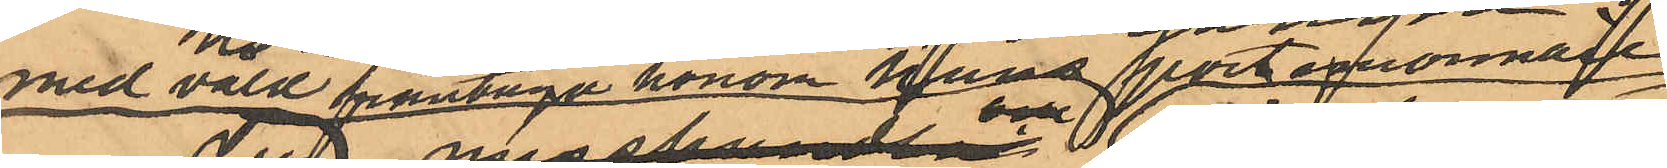med våld fråntaga honom hans portmonnaie
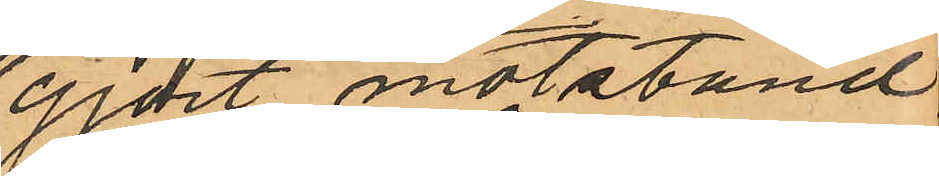gjort motstånd,
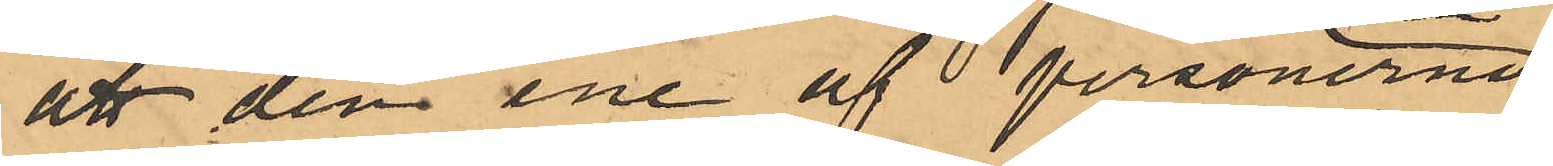att den ene af personerna
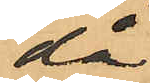då
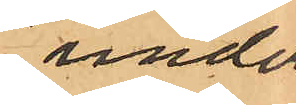under
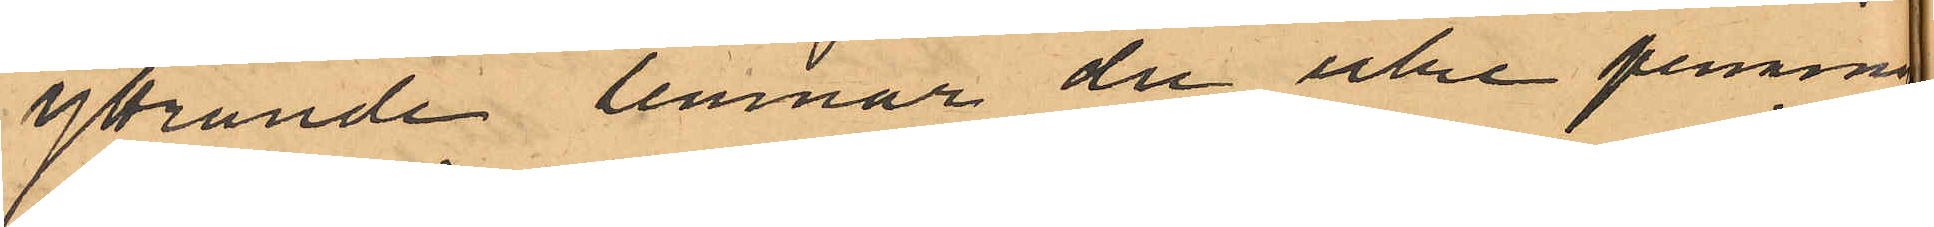yttrande lemnar du icke penningarne
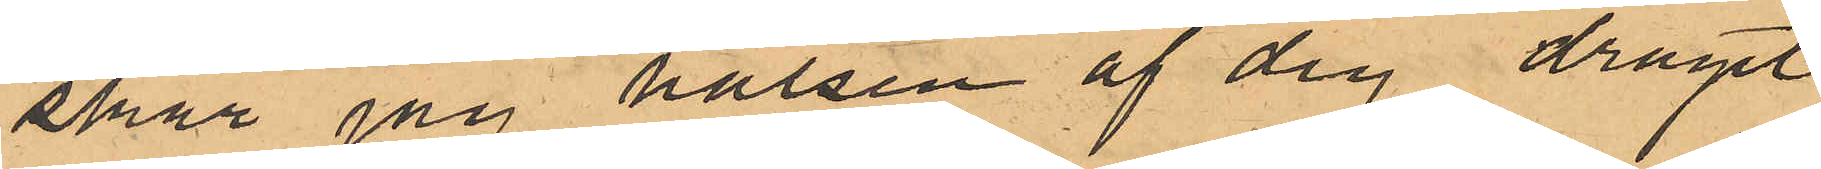skär jag halsen af dig dragit
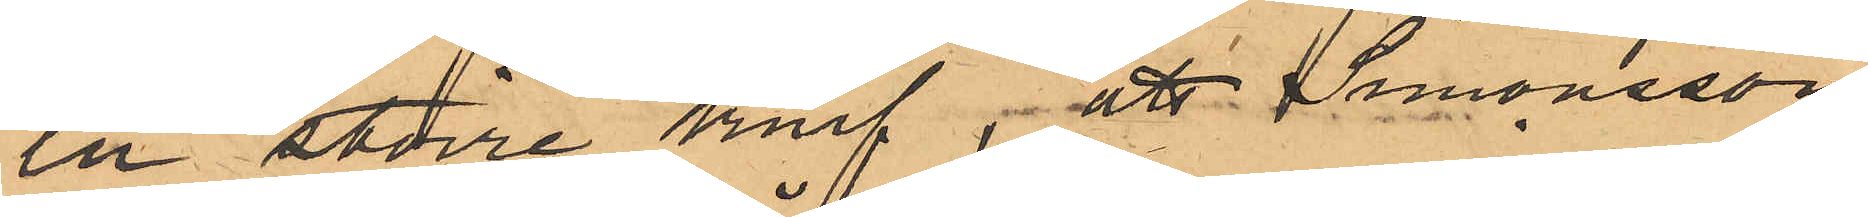en större knif; att Simonsson
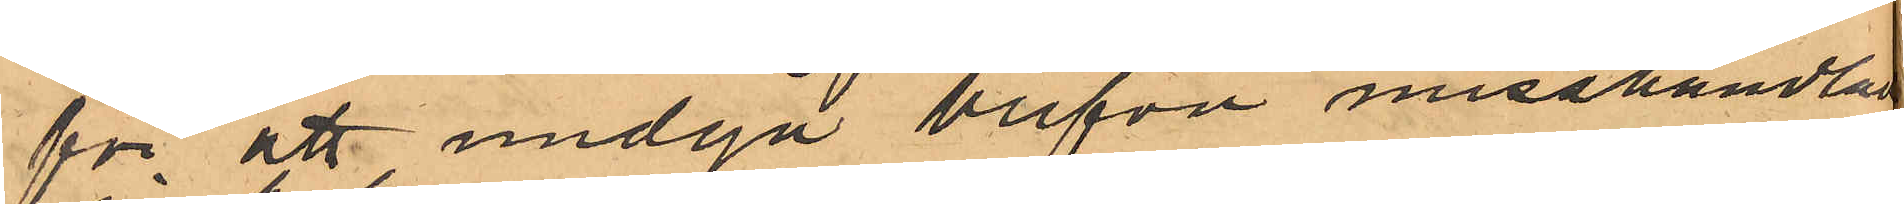för att undgå knifven misshandlad
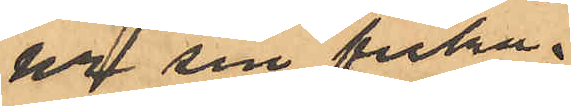ur sin ficka
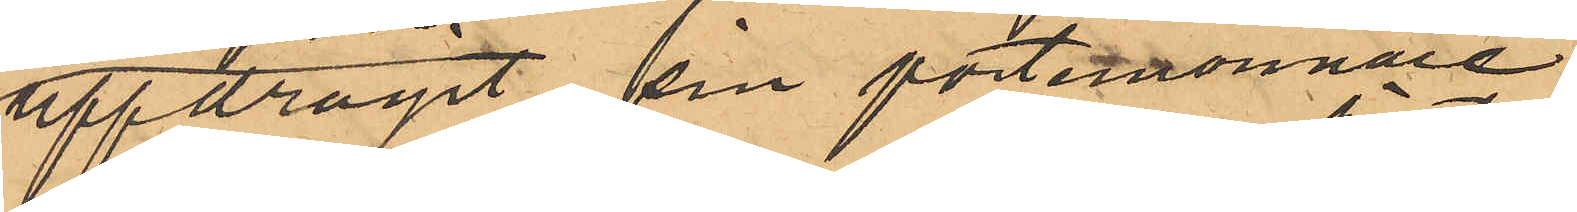uppdragit sin portmonnaie,
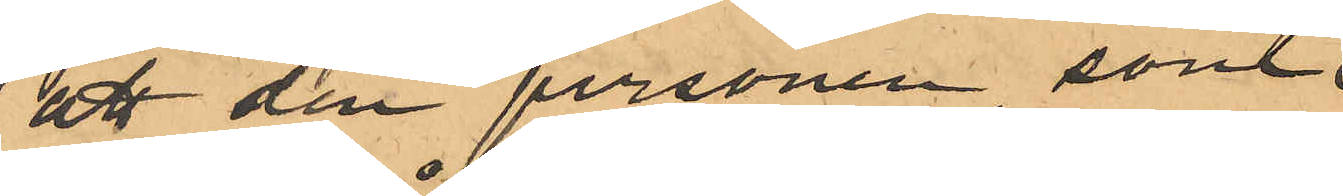att den personen, som
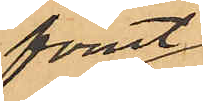förut
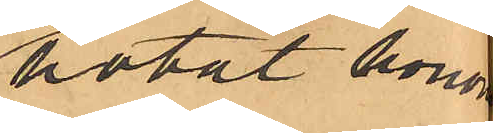hotat honom
